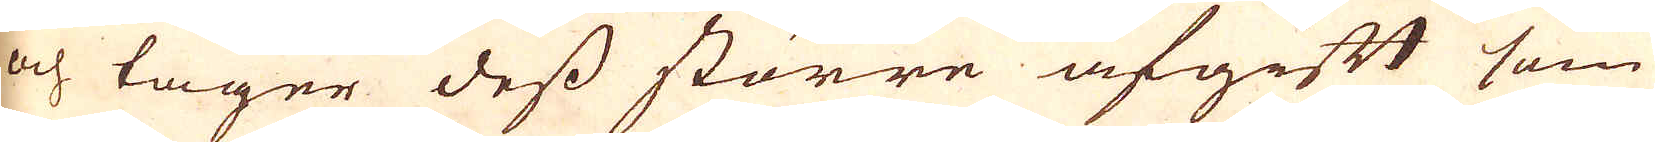och tager dess större afgift som
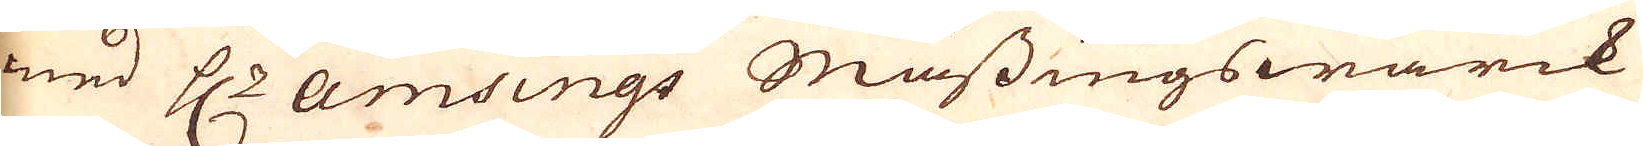med H:r Amsings Mässingswärck
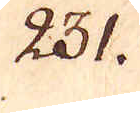231.
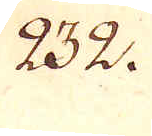232.
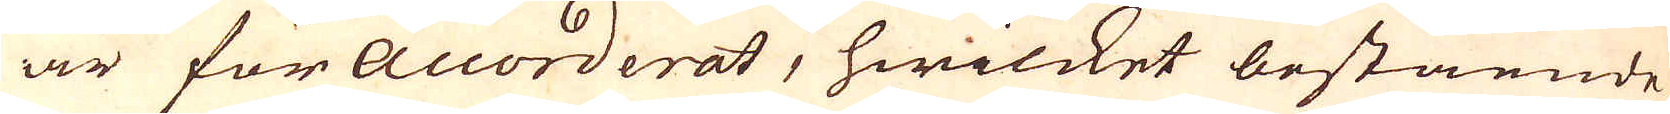är för accorderat, hwilcket bestående
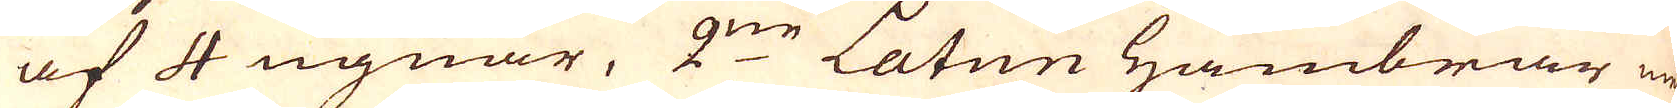af 4 ugnar, 2:ne Latun Hambrar en
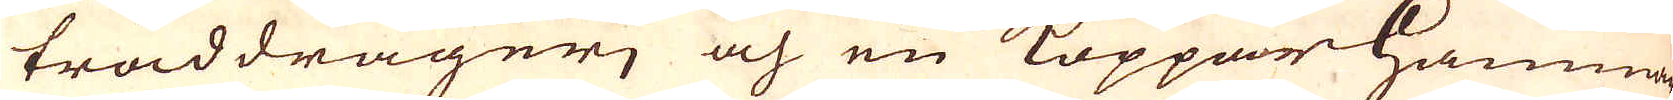tråddragerj och en Koppar Hammar
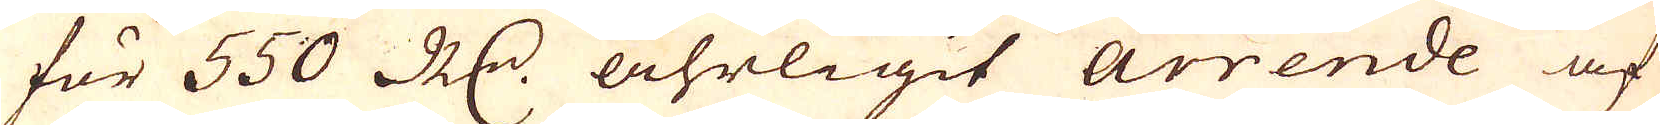för 550 R:dr åhrligit Arrende af
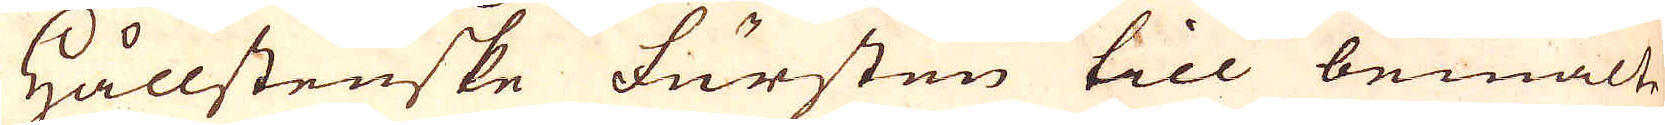Hållstenske fursten till bemälte
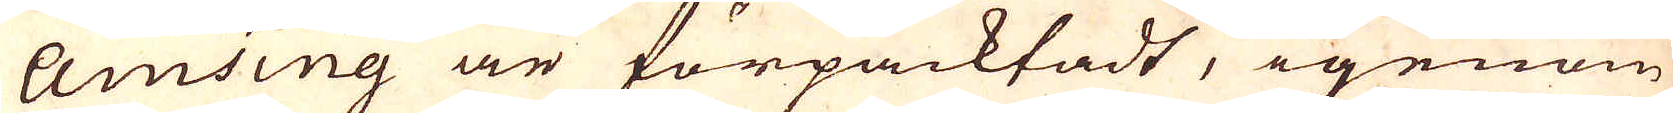Amsing är förpacktadt, igenom
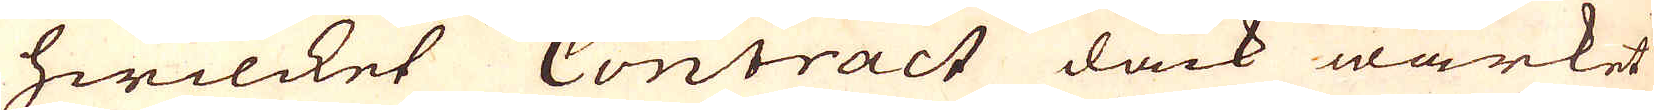hwilcket Contract dåck wärket
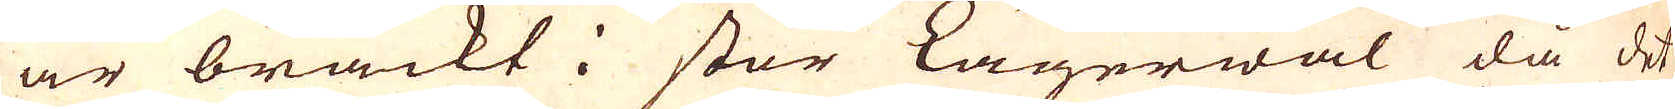är brackt i stor Lägerwal då det
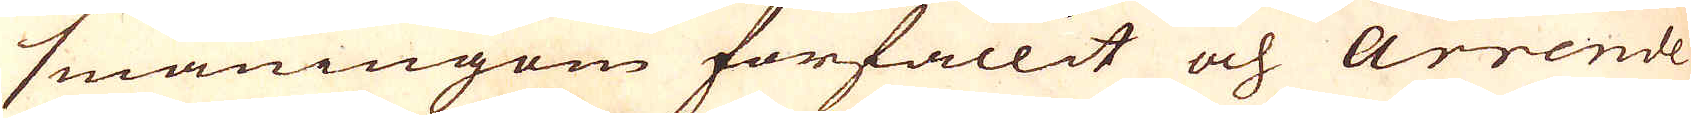småningom förfallit och arrende
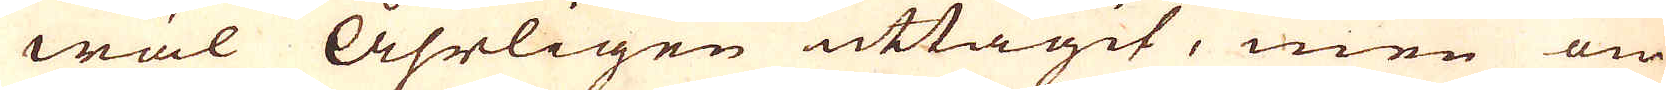wäl Åhrligen uttagit, men om
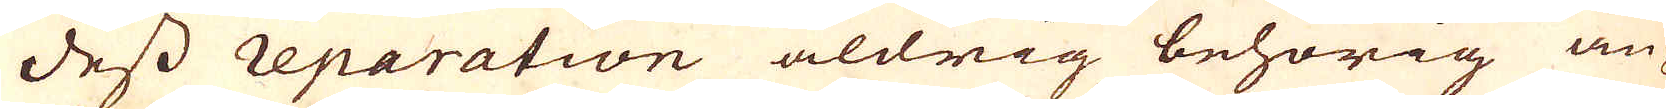dess reparation aldrig behörig an-
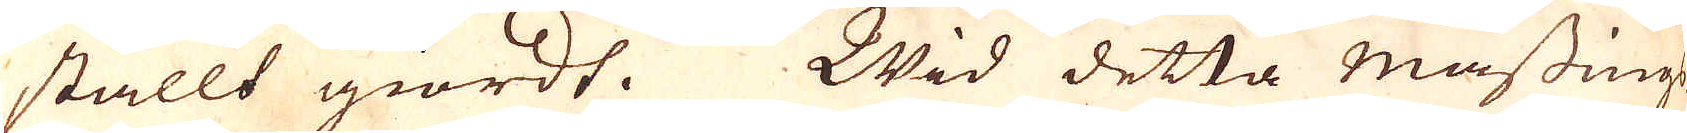stallt giordt. Wid detta Mässings-
